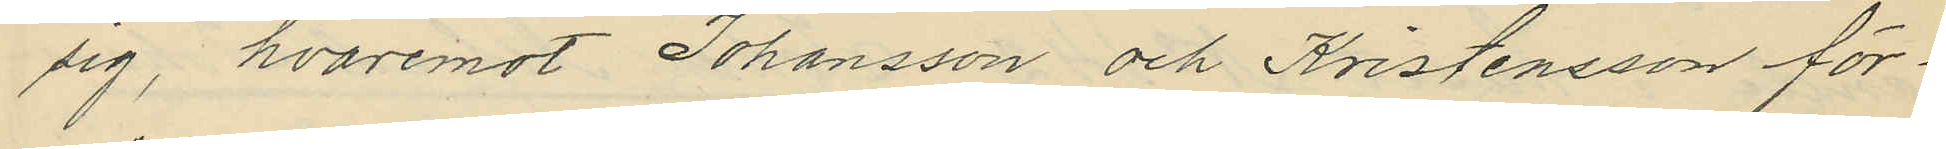sig, hvaremot Johansson och Kristensson för¬
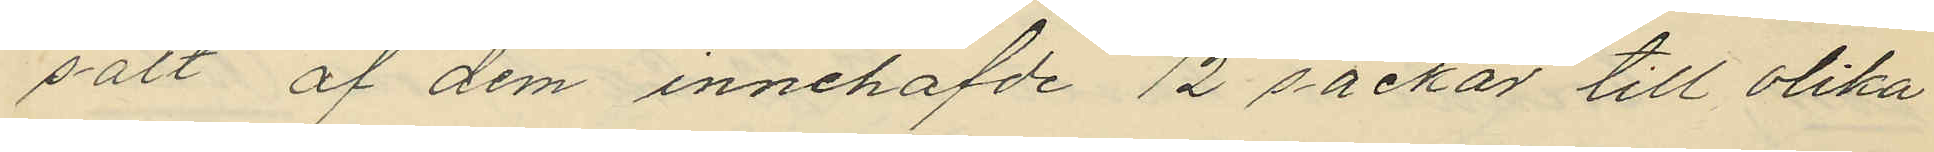sålt af dem innehafde 12 säckar till olika
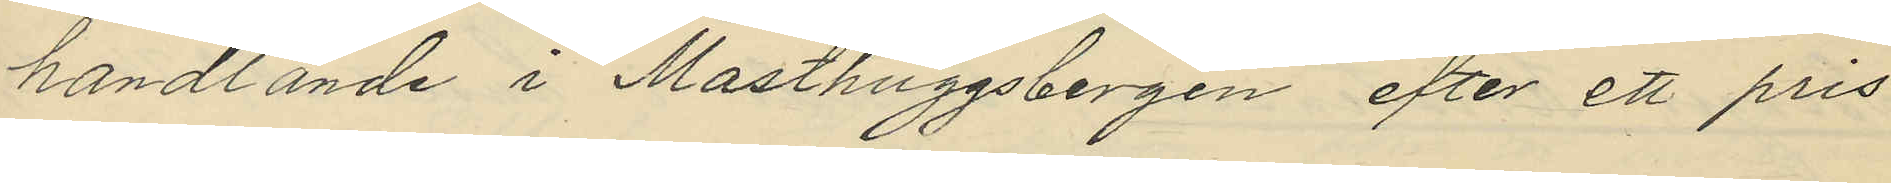handlande i Masthuggsbergen efter ett pris
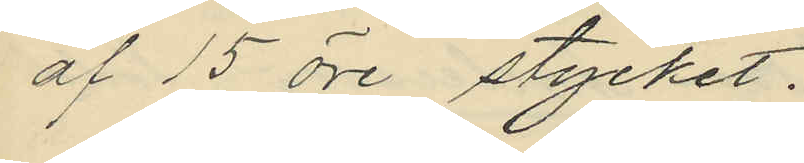af 15 öre stycket.
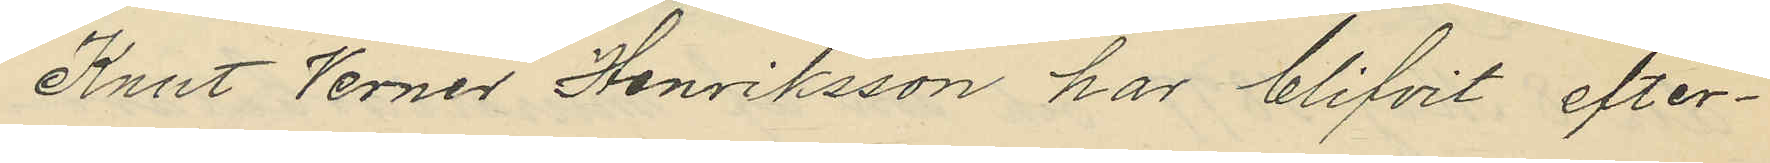Knut Verner Henriksson har blifvit efter¬
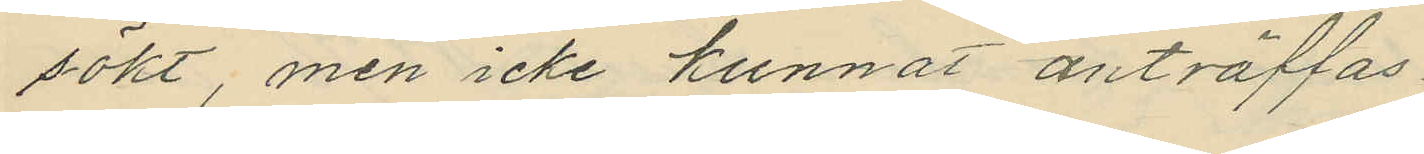sökt, men icke kunnat anträffas.
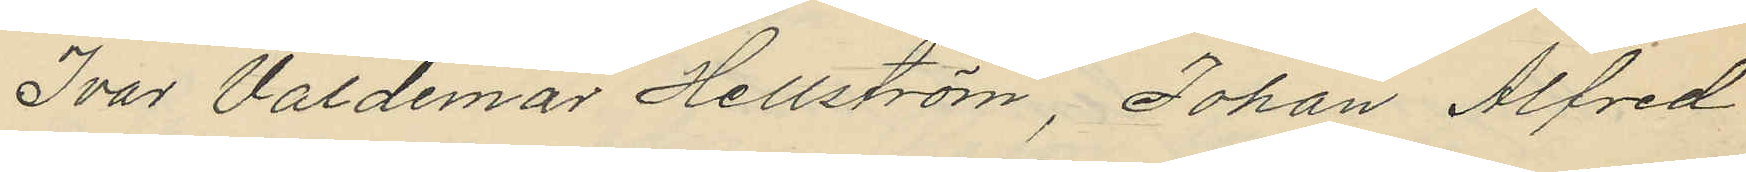Ivar Valdemar Hellström, Johan Alfred
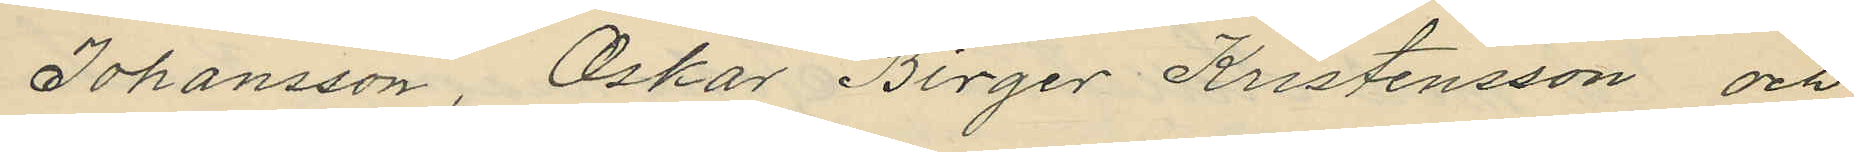Johansson, Oskar Birger Kristensson och
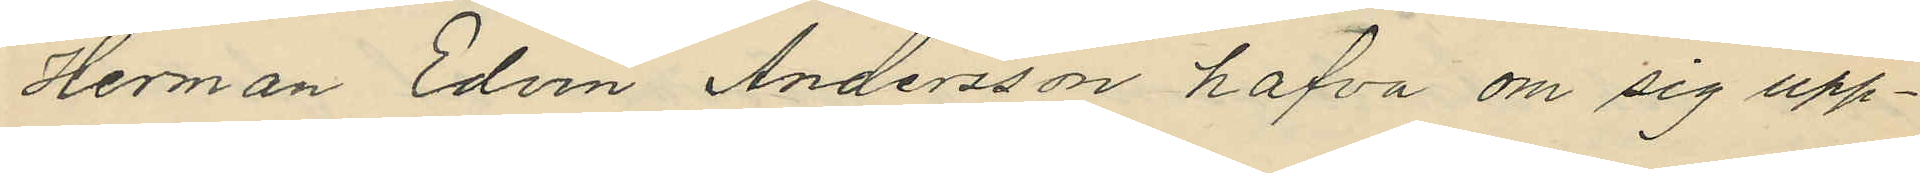Herman Edvin Andersson hafva om sig upp¬
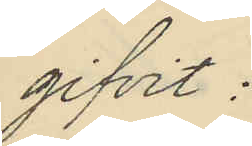gifvit:
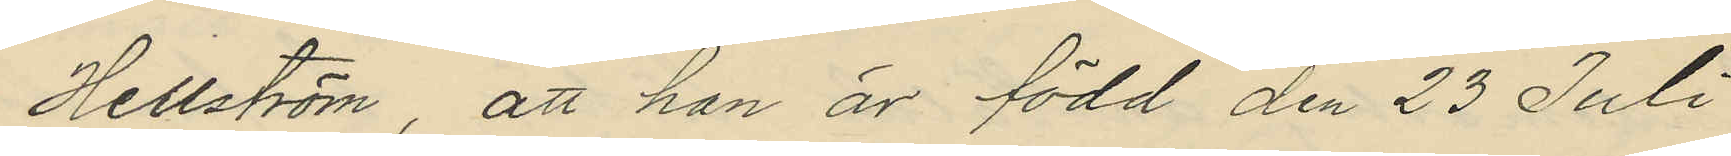Hellström, att han är född den 23 Juli
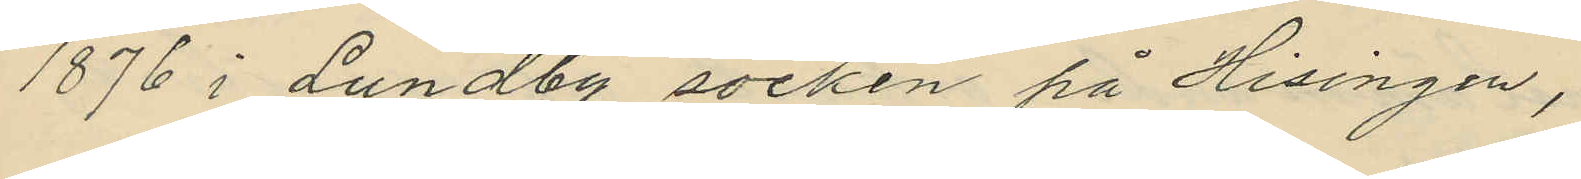1876 i Lundby socken på Hisingen,
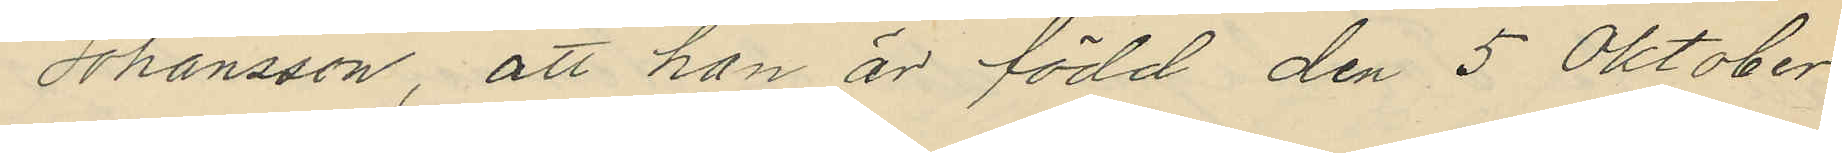Johansson, att han är född den 5 Oktober
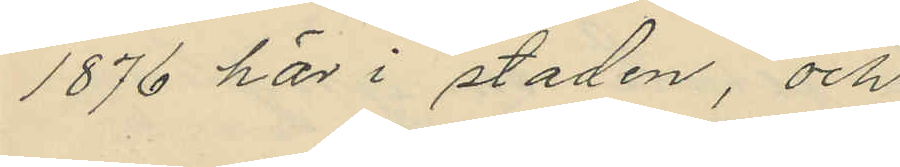1876 här i staden, och
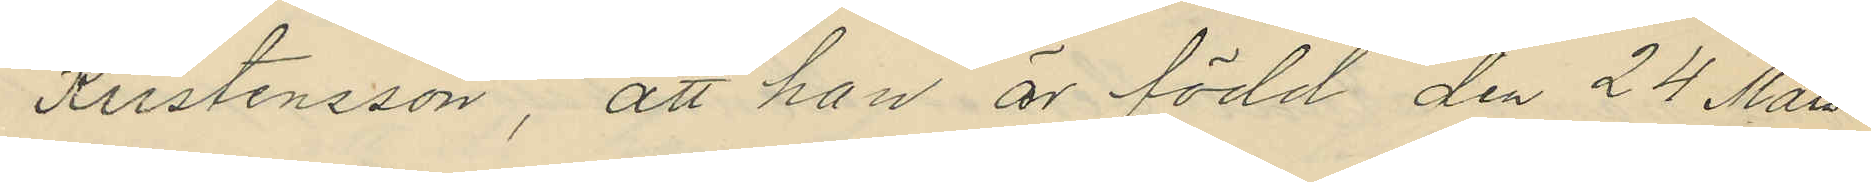Kristensson, att han är född den 24 Mars
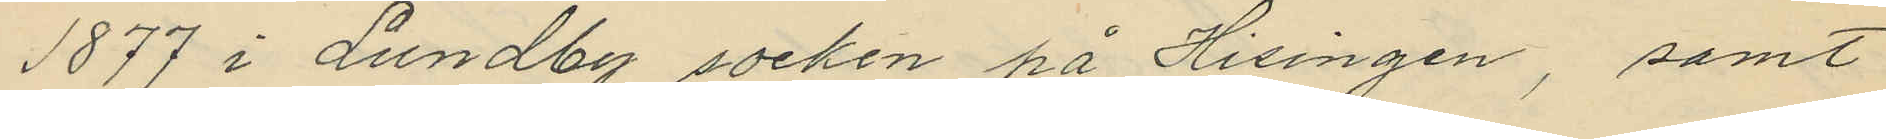1877 i Lundby socken på Hisingen, samt
